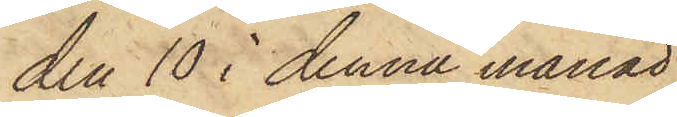den 10 i denna månad
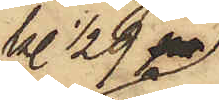kl. 1/2 9 pa
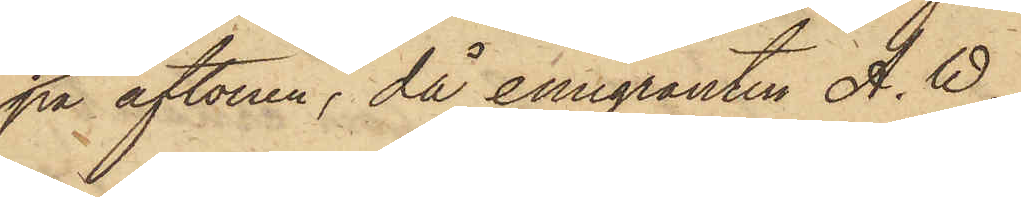på aftonen, då emigranten A. W.
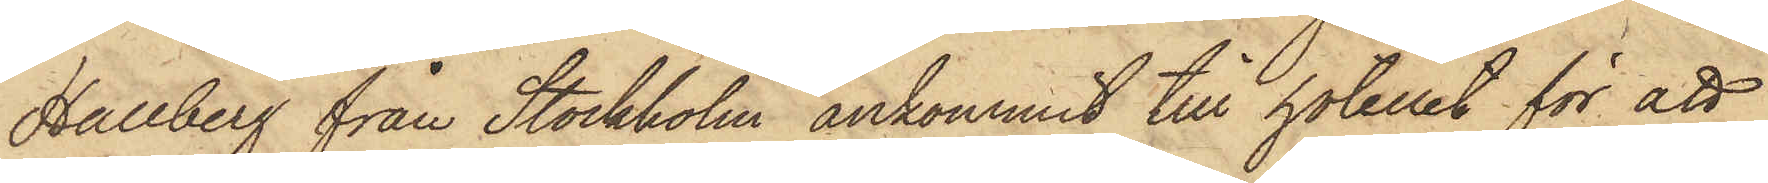Hallberg från Stockholm ankommit till hotellet för att
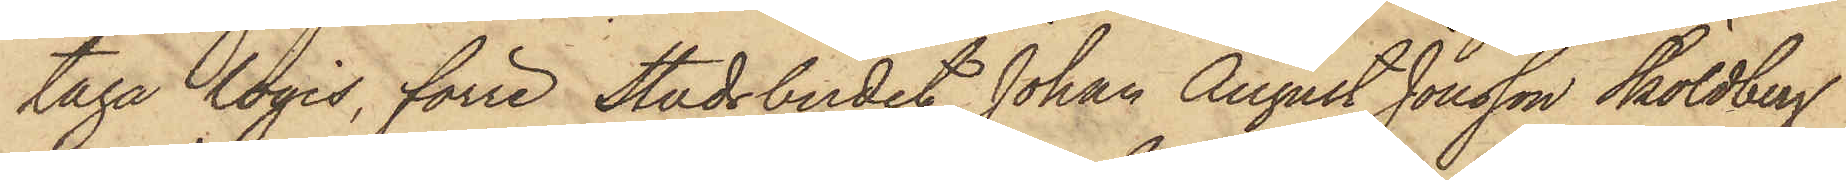taga logis, förre Stadsbudet Johan August Jonsson Sköldberg
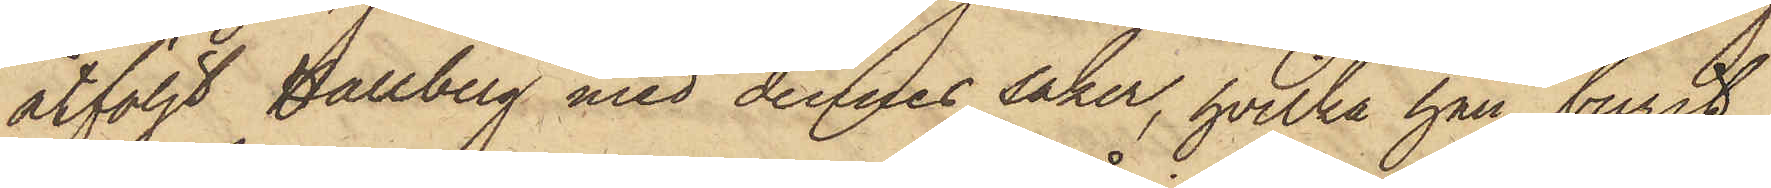åtföljt Hallberg med dennes saker, hvilka han burit
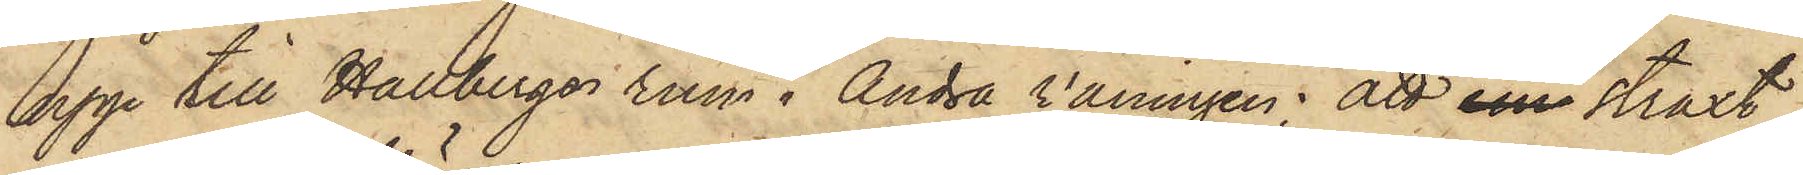upp till Hallbergs rum i Andra våningen; att em straxt
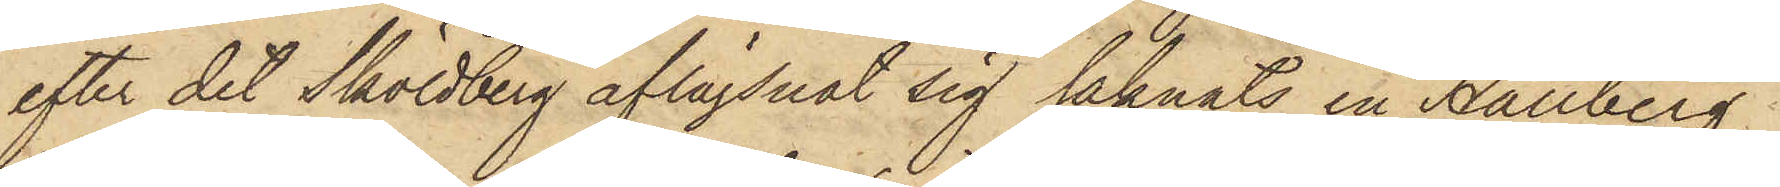efter det Sköldberg aflägsnat sig saknats en Hallberg,
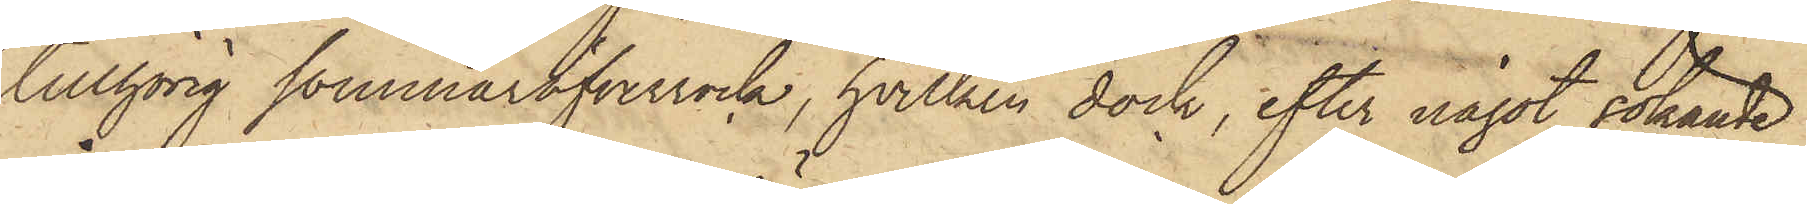tillhörig sommaröfverrock, hvilken dock, efter något sökande
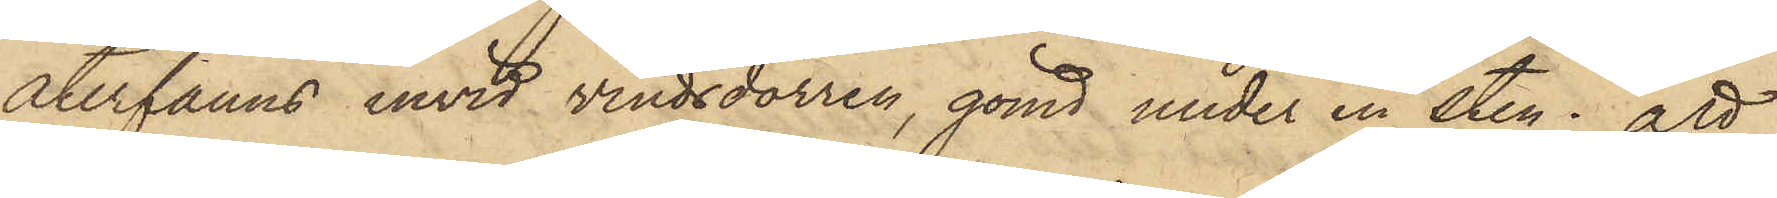återfanns invid vindsdörren, gömd under en sten; att
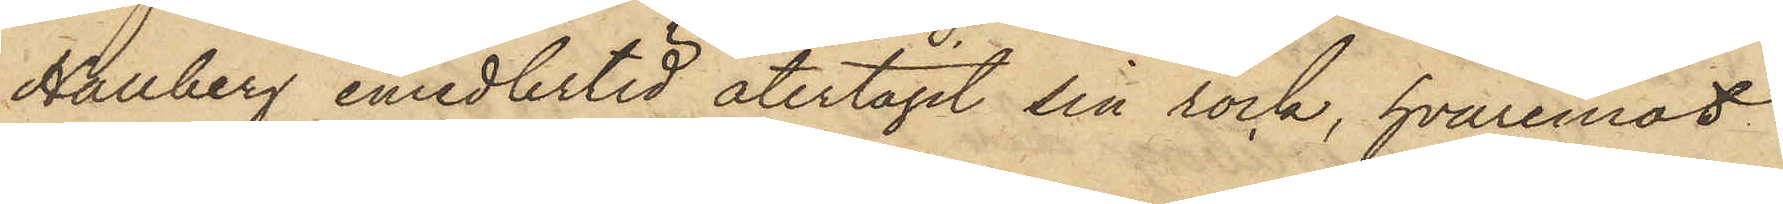Hallberg emedlertid återtagit sin rock, hvaremot
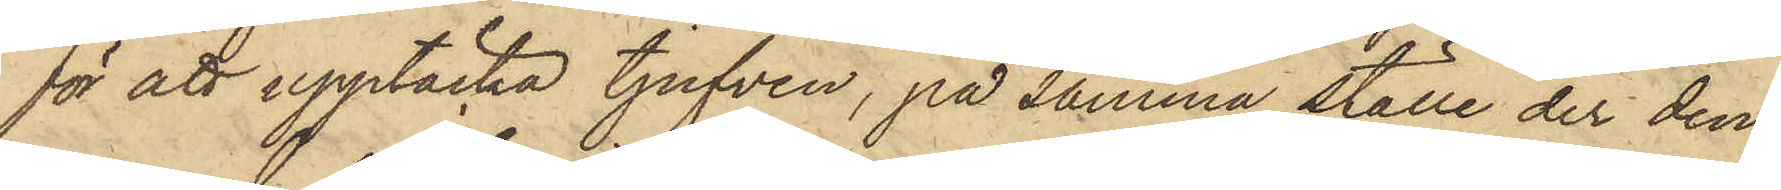för att upptäcka tjufven, på samma ställe der den¬
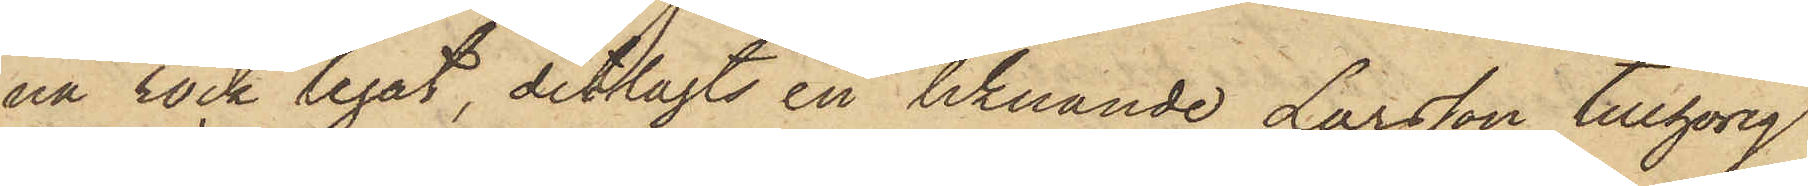na rock legat, ditlagts en liknande Larsson tillhörig
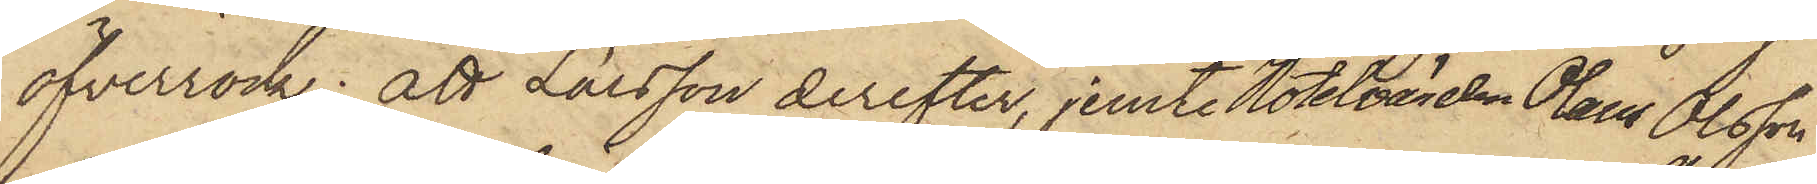öfverrock; att Larsson derefter, jemte Hotelvärden Olaus Olsson
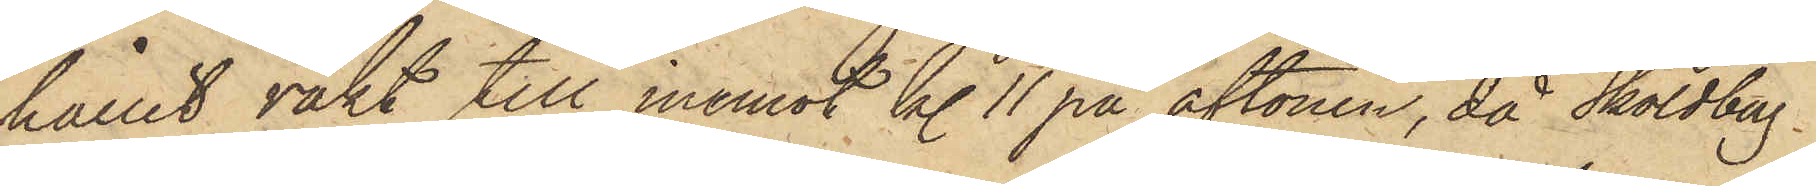hållit vakt till inemot kl 11 på aftonen, då Sköldberg
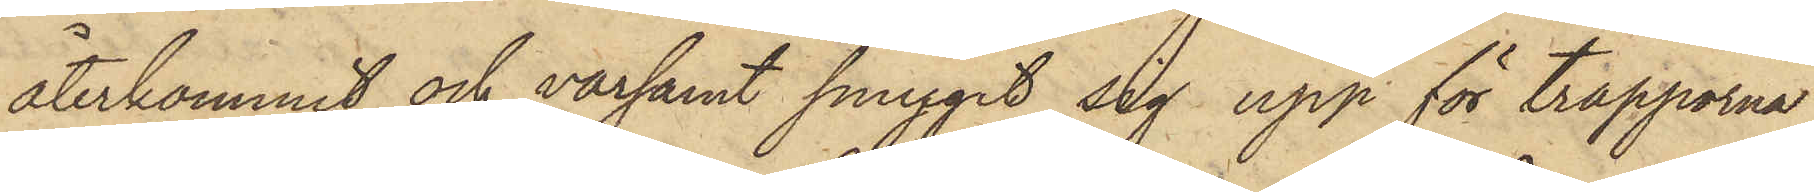återkommit och varsamt smygit sig upp för trapporna,
